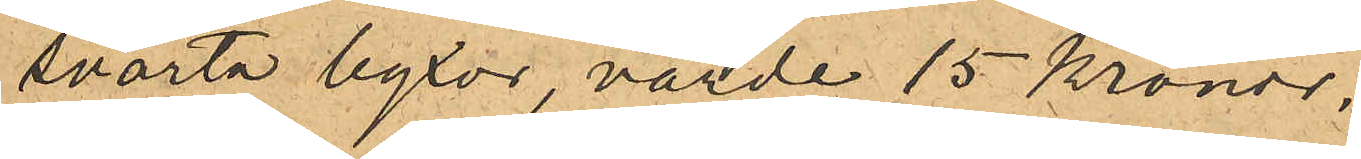svarta byxor, värde 15 kronor.
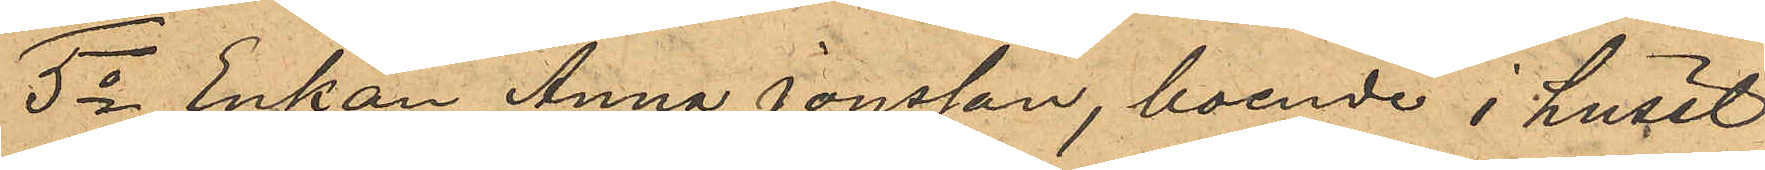5o Enkan Anna Jonsson, boende i huset
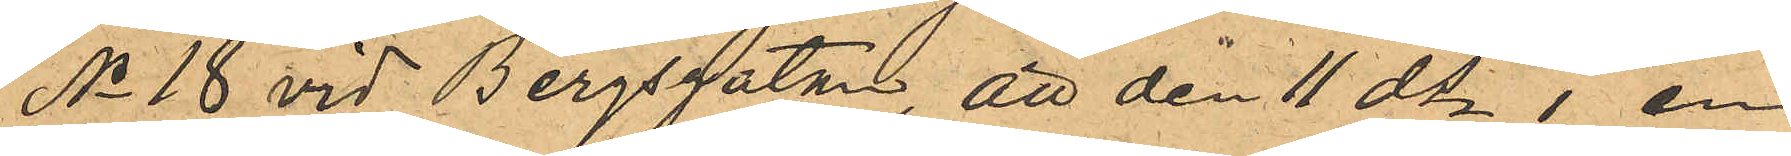No 18 vid Bergsgatan, att den 11 ds i en
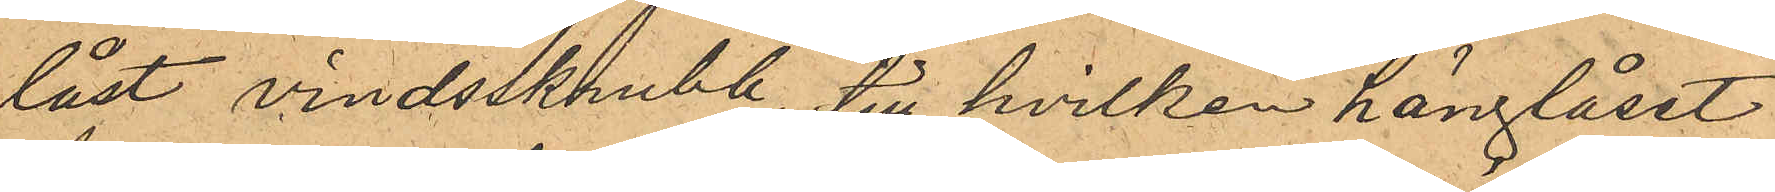låst vindsskrubb, till hvilken hänglåset
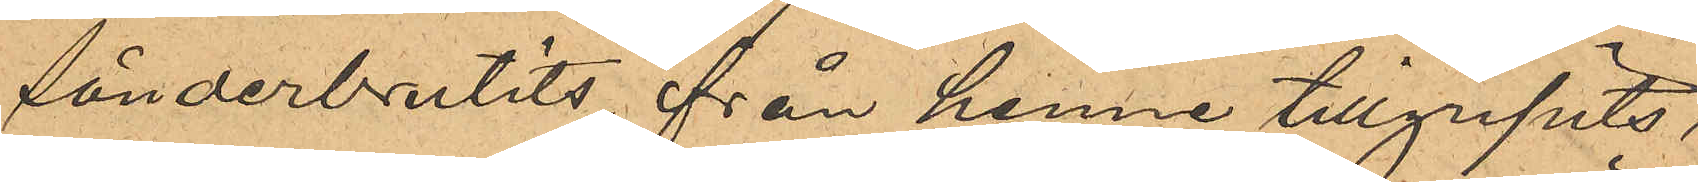sönderbrutits, från henne tillgripits,
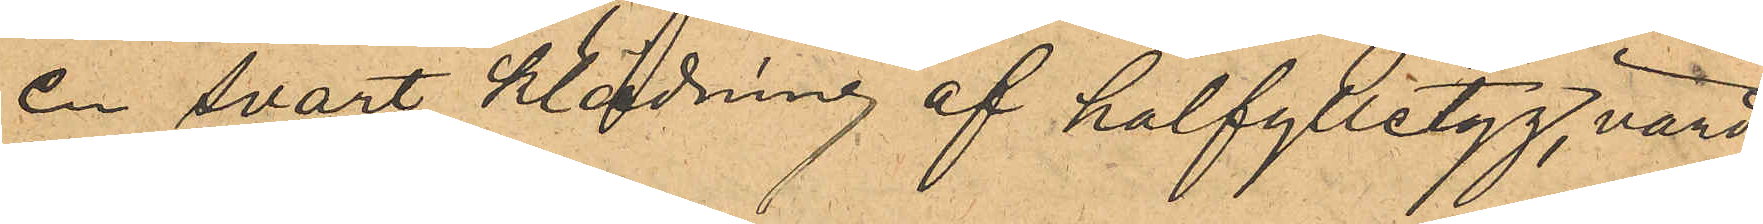en svart klädning af halfylletyg, värd
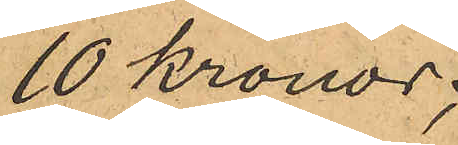10 kronor;
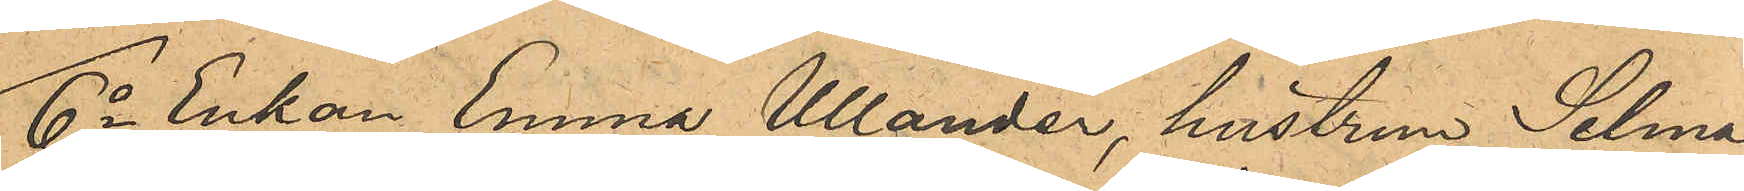6o Enkan Emma Ullander, hustrun Selma
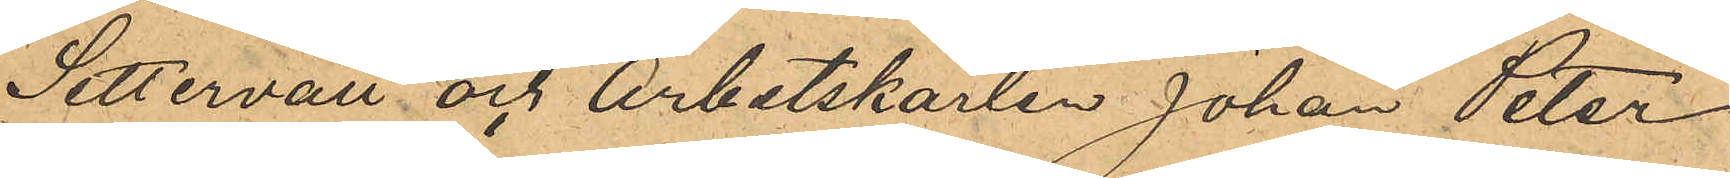Settervall och Arbetskarlen Johan Peter
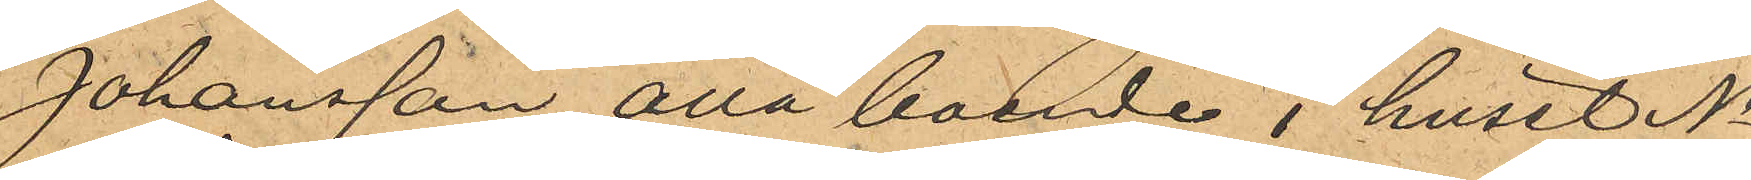Johansson, alla boende i huset No
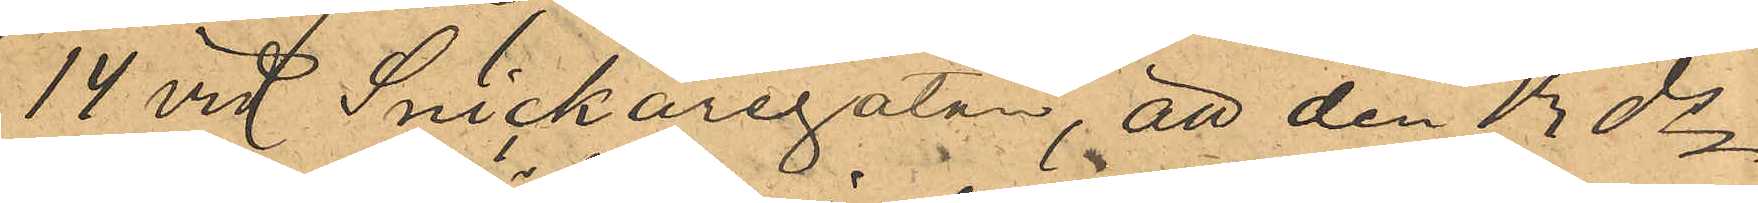14 vid Snickaregatan, att den 13 ds
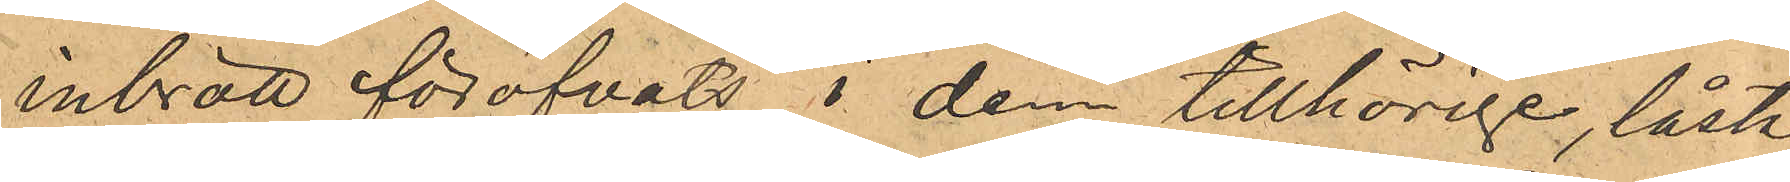inbrott föröfvats i dem tillhörige, låsta
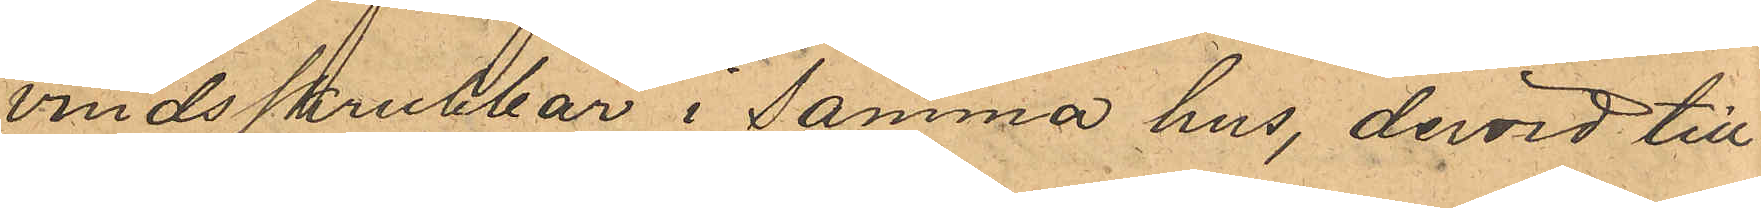vindsskrubbar i samma hus, dervid till¬
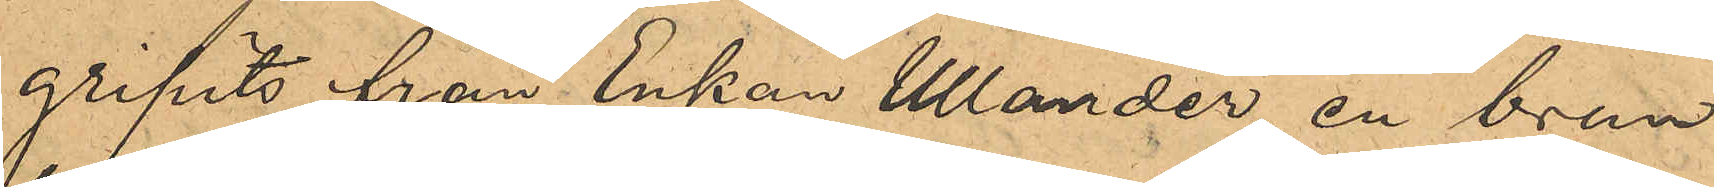gripits från Enkan Ullander, en brun
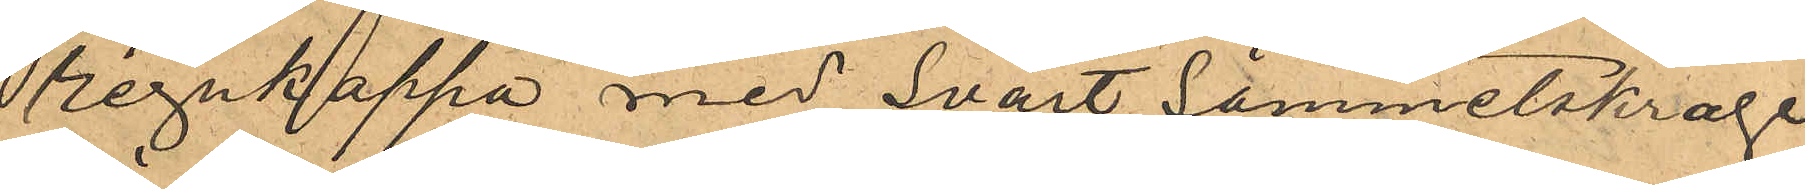regnkappa med Svart Sammetskrage
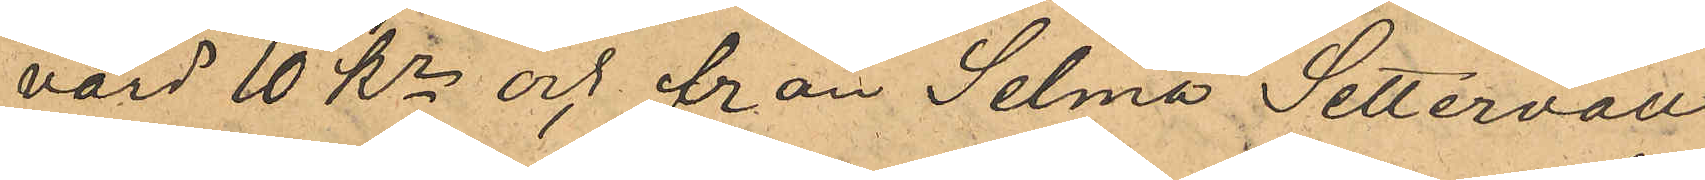värd 10 Kr och från Selma Settervall
